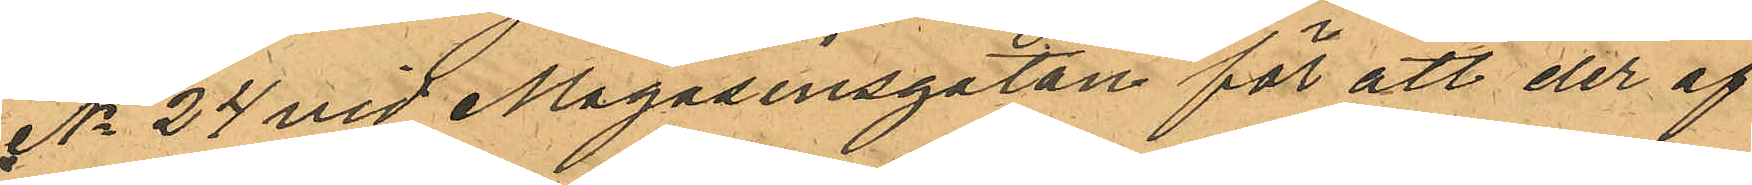No 24 vid Magasinsgatan för att der af
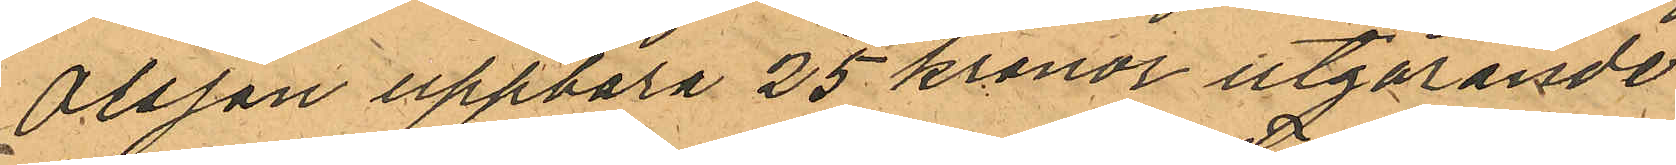Olsson uppbära 25 kronor utgörande
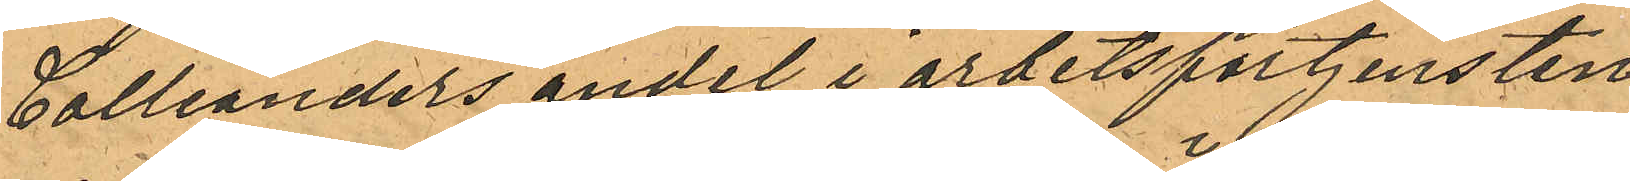Collianders andel i arbetsförtjensten
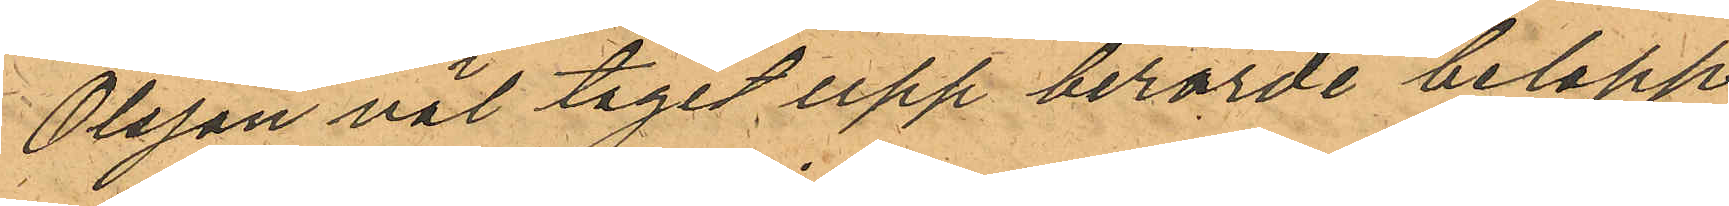Olsson väl tagit upp berörde belopp
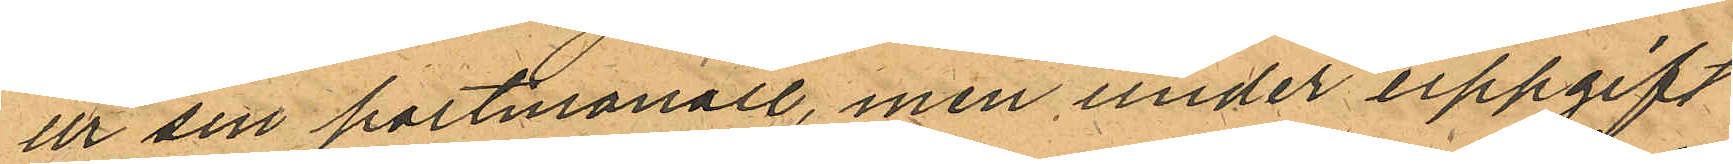ur sin portmonaie, men under uppgift
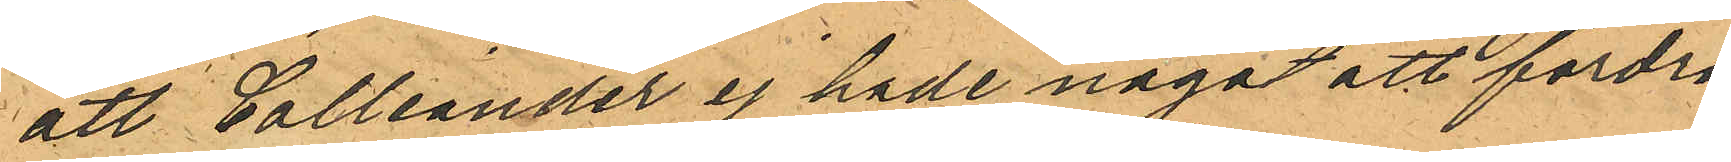att Colliander ej hade något att fordra
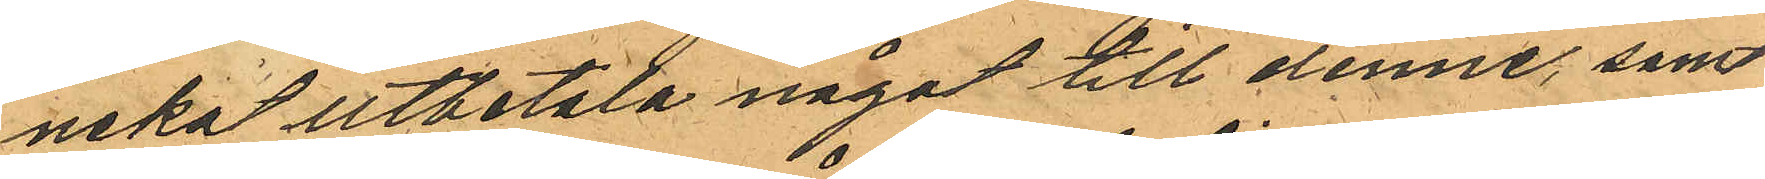neka utbetsta något till denne, samt
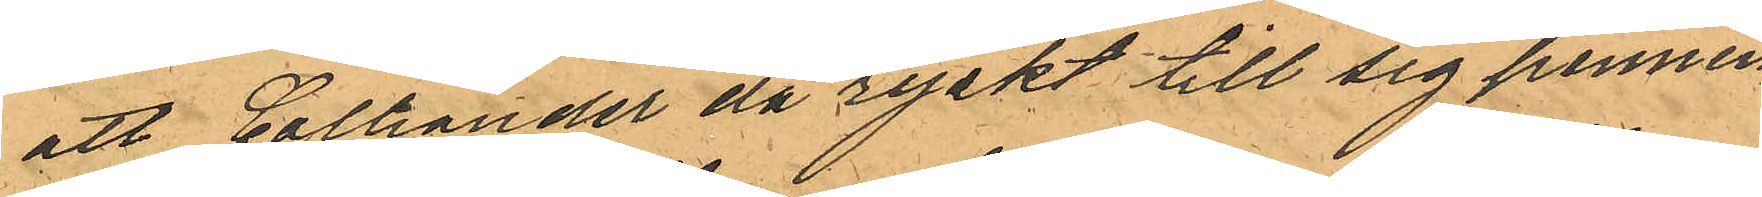att Colliander då ryckt till sig pennin¬
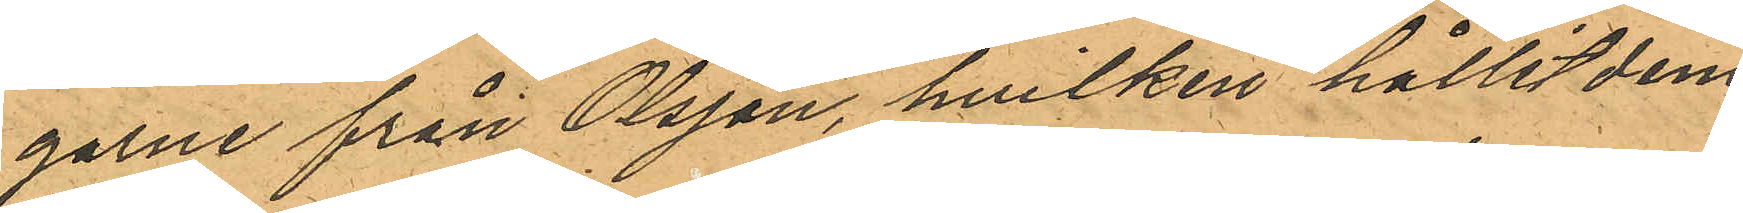garne från Olsson, hvilken hållit dem
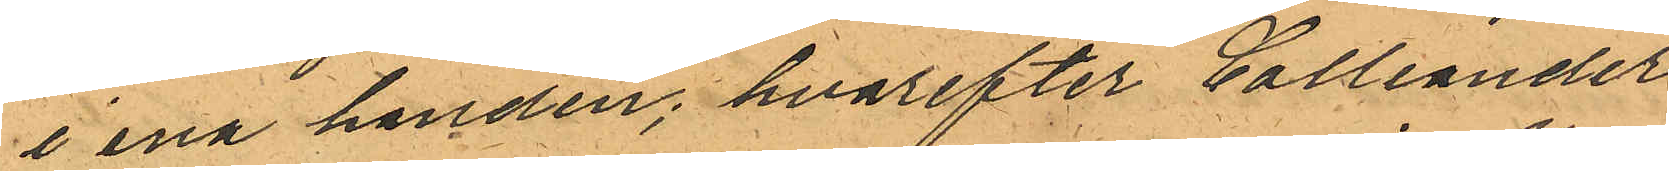i ena handen; hvarefter Colliander
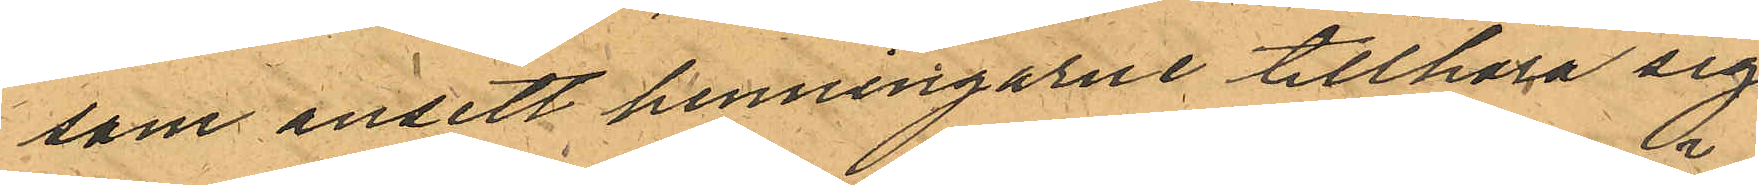som ansett penningarne tillhöra sig
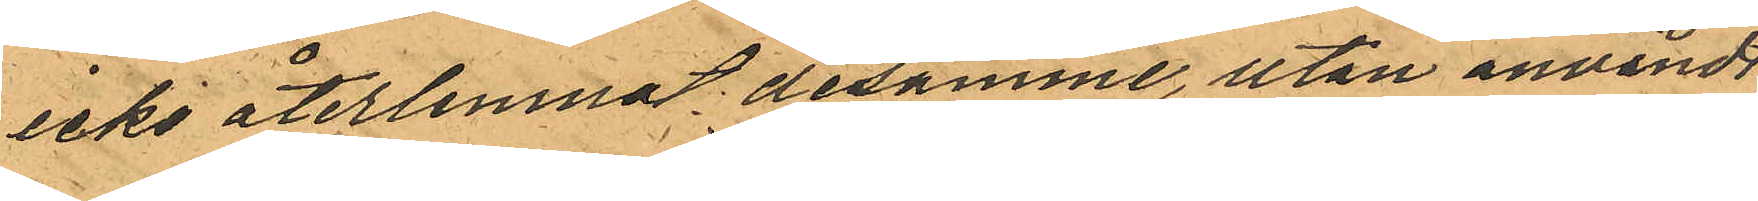icke återlemnat desamme, utan användt
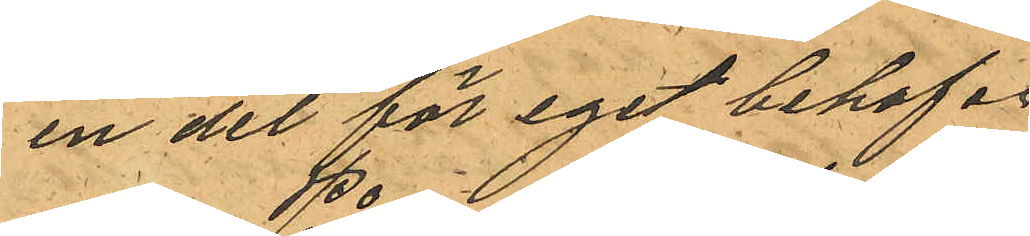en del för eget behof.
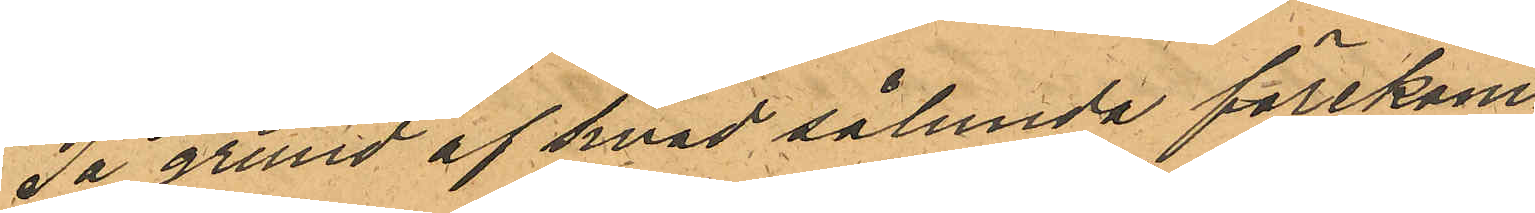På grund af hvad sålunda förekom¬
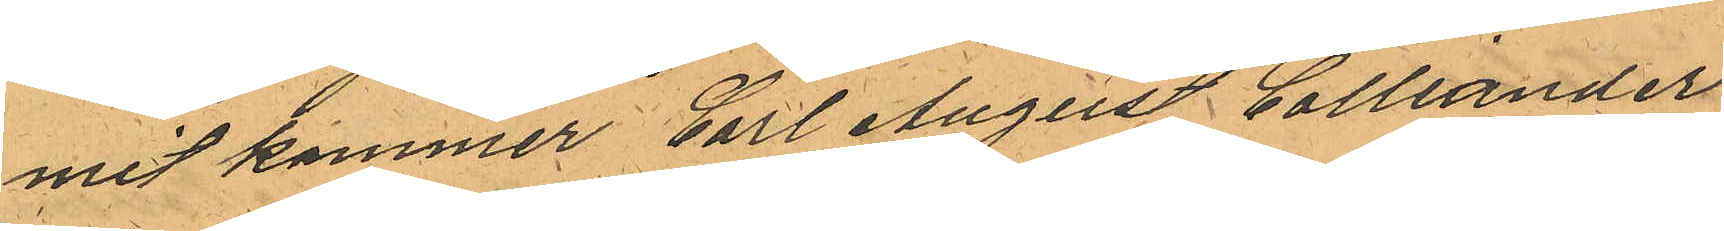mit kommer Carl August Colliander
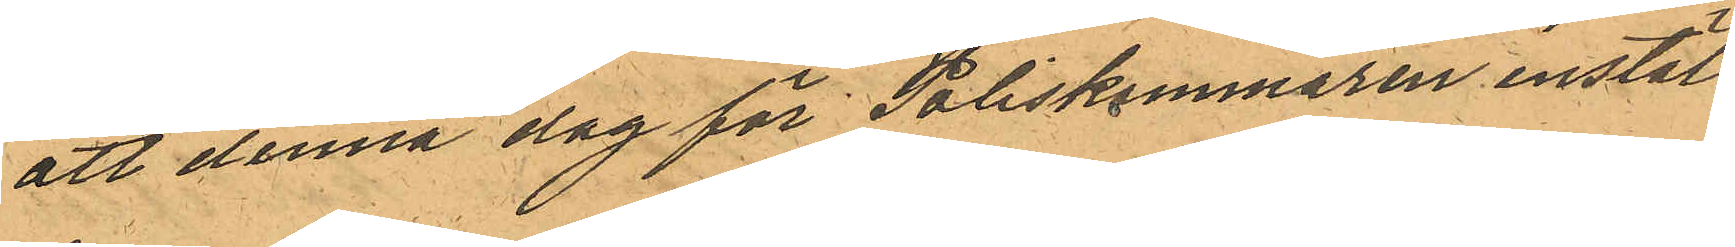att denna dag för Poliskammaren instäl¬
